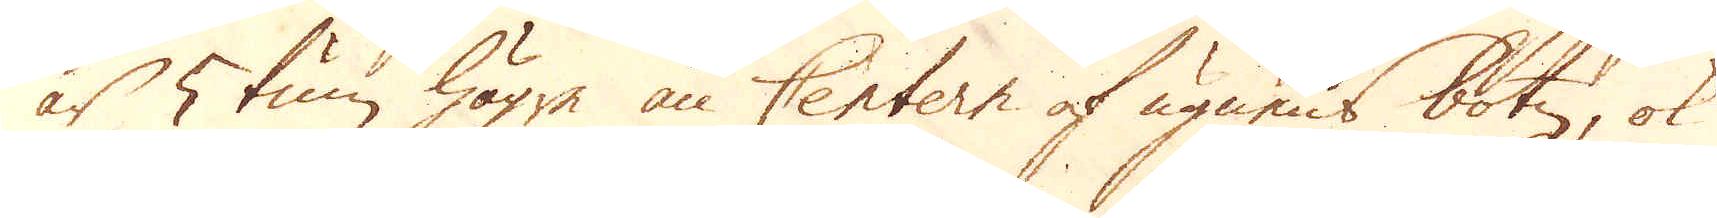är 5 tum högre än Centern af ugnens botn, ok
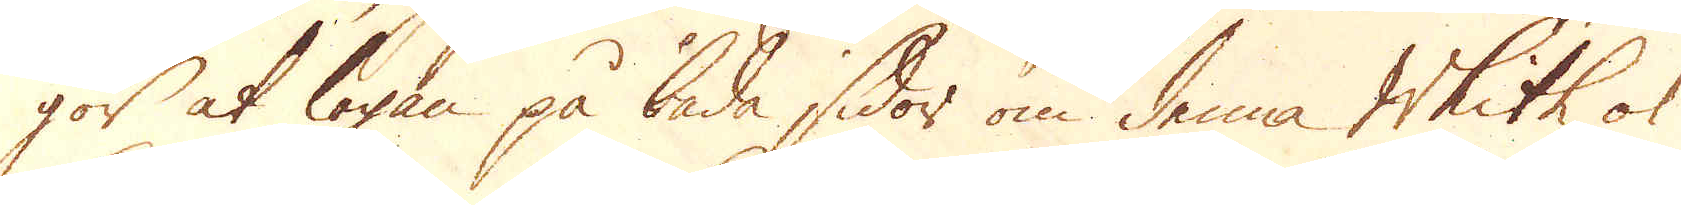gör at logan på båda sidor om denna Whith, ok
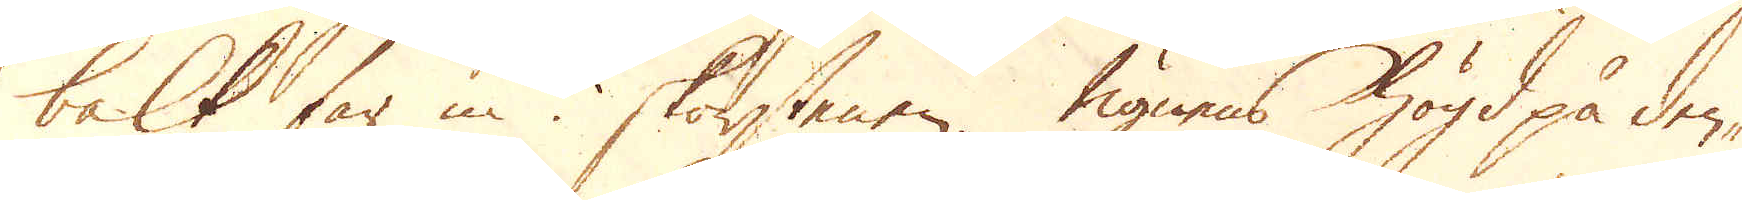balk far in i skorstenen. Ugnens högd på den-
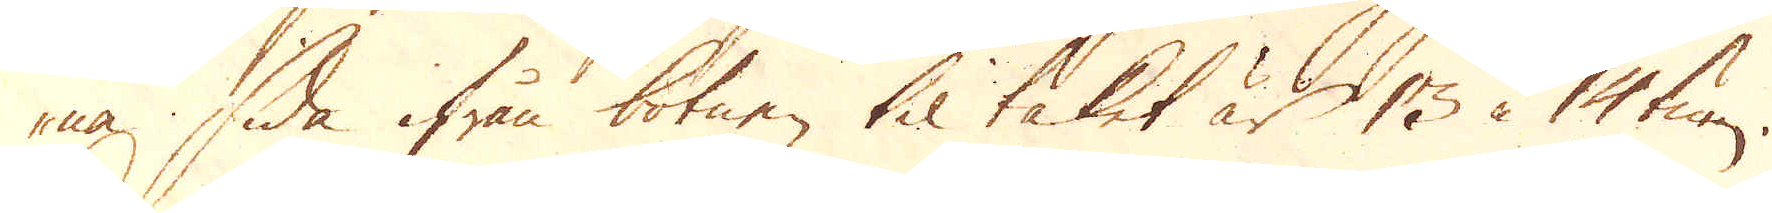na, sida ifrån botnen til taket är 13 à 14 tum.
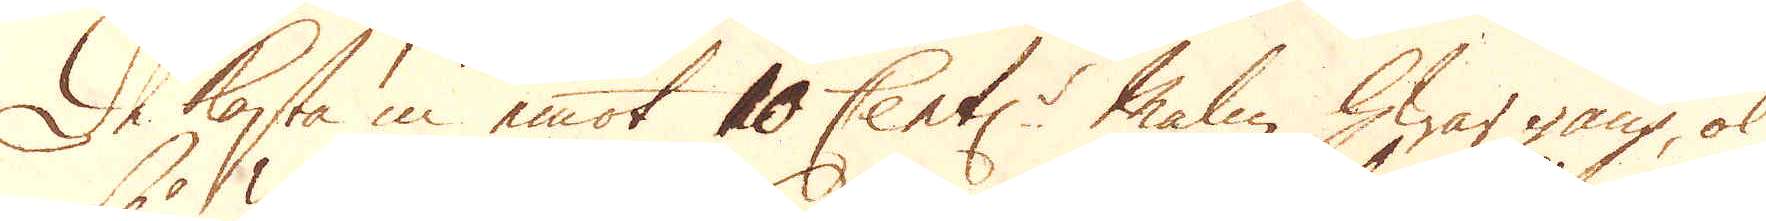De kasta in emot 10 Cent:r malm, hwar gång, ok
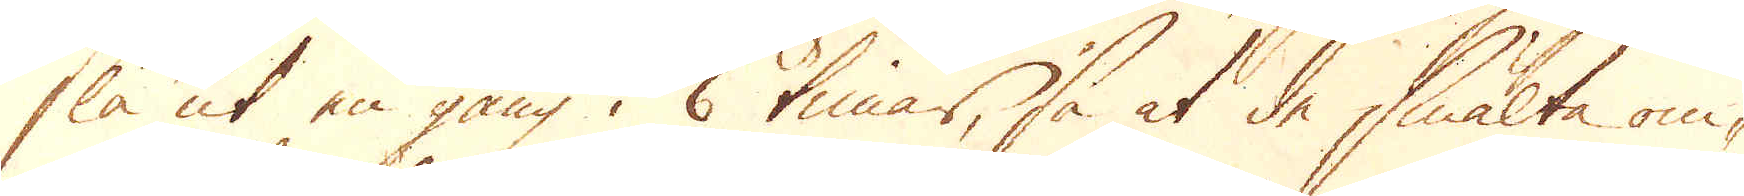slå ut en gång i 6 timar, så at de smälta om-
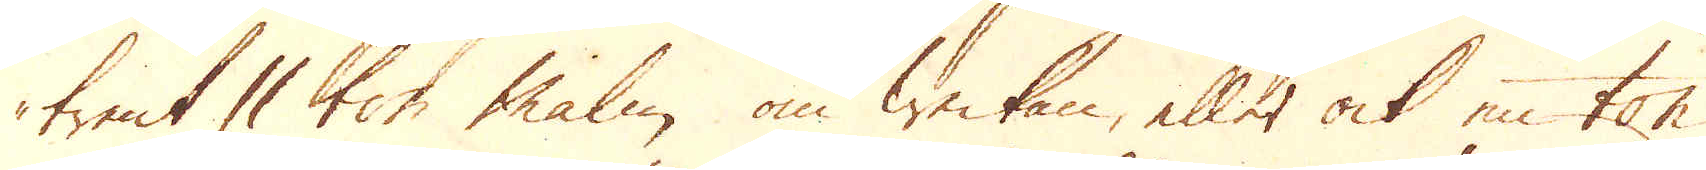trent 11 ton malm om weckan, eller ock en ton
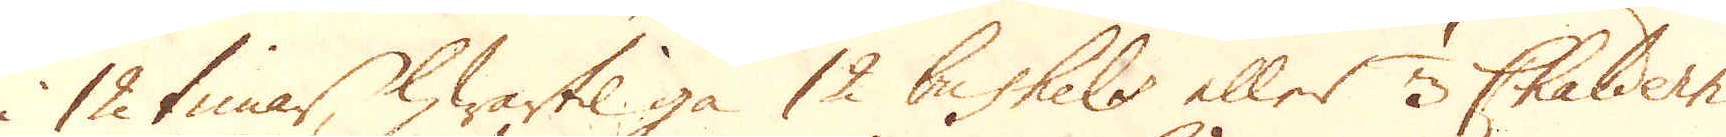i 12 timar, hwartil gå 12 bushels eller 3 Chaldern
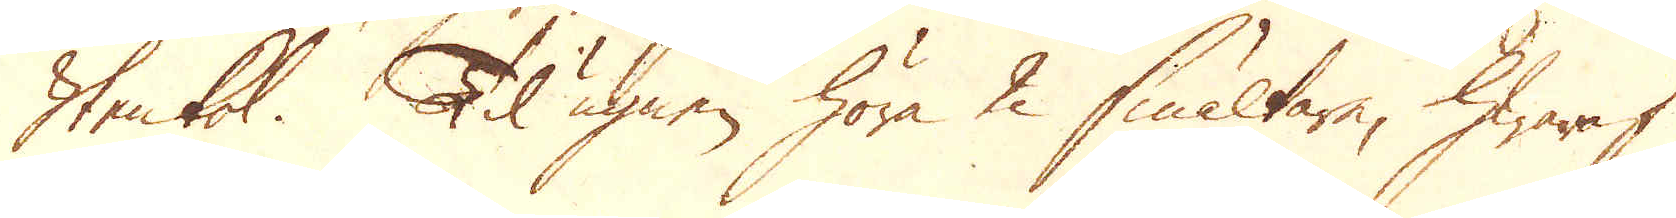Stenkol. Til ugnen höra 2 smältare, hwaraf
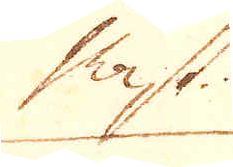Mäst-
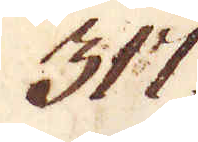317.
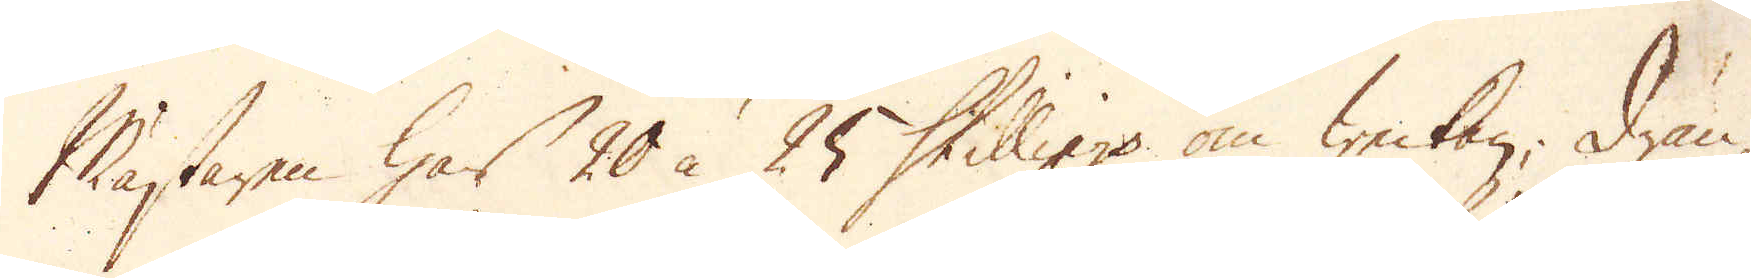Mästaren har 20 à 25 Skilling om weckan, drän-
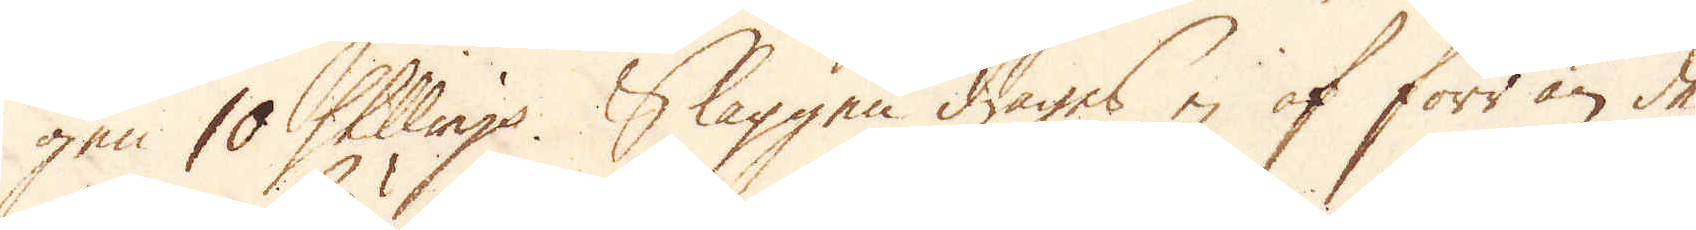gen 10 Skillings. Slaggen drages ej af förr än de
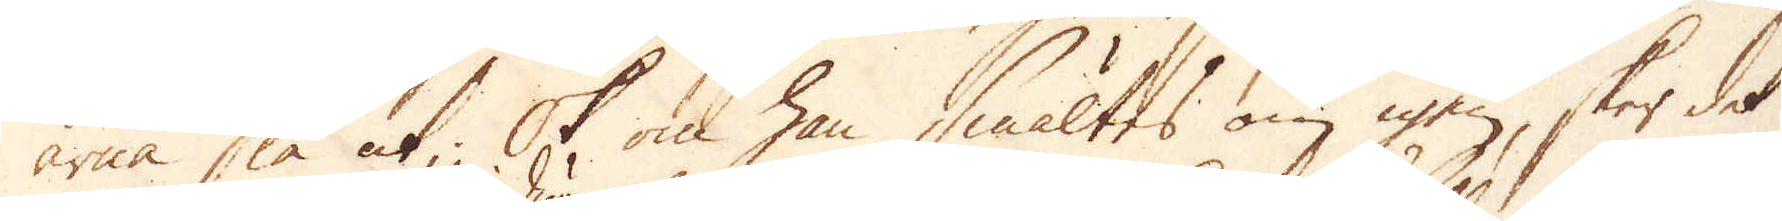ärna slå ut; Ok om han smältes om igen, sker det
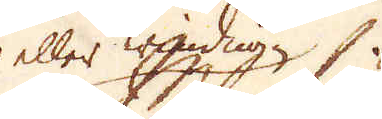eller windugn
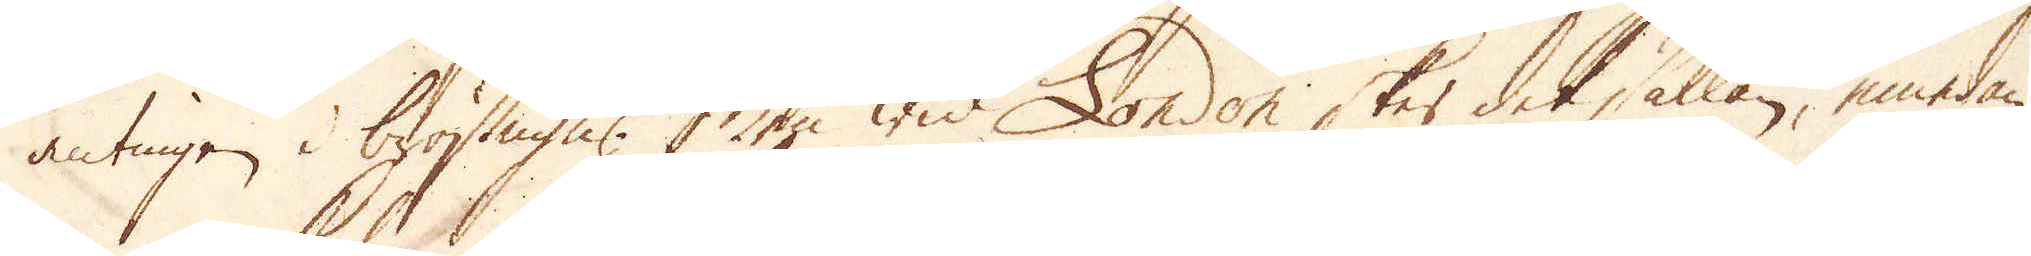antingen i bröstugn. Men wid London sker det sällan, emedan
